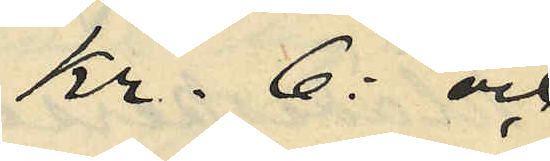Kr. 6: och
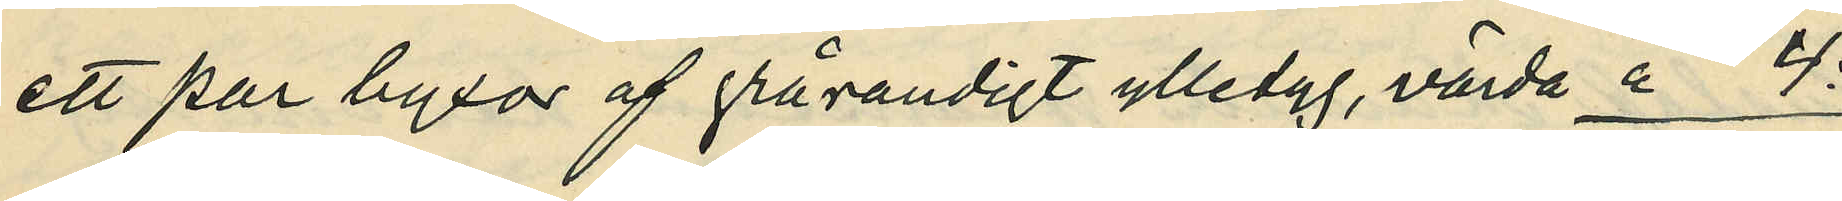ett par byxor af grårandigt ylletyg, värda " 4:
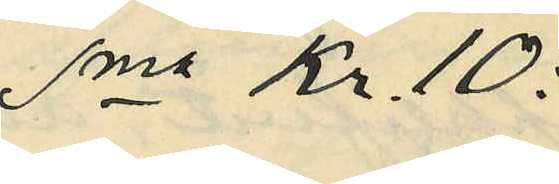Sma Kr. 10:
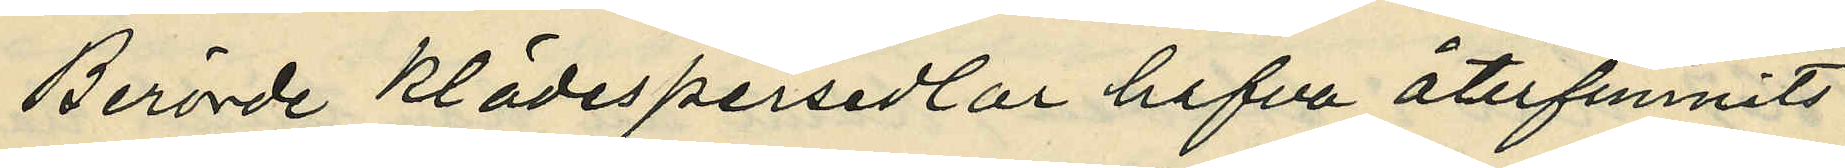Berörde klädespersedlar hafva återfunnits
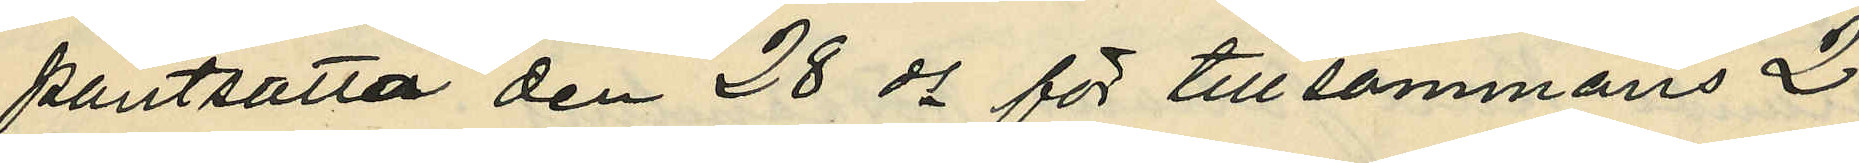pantsatta den 28 ds för tillsammans 2
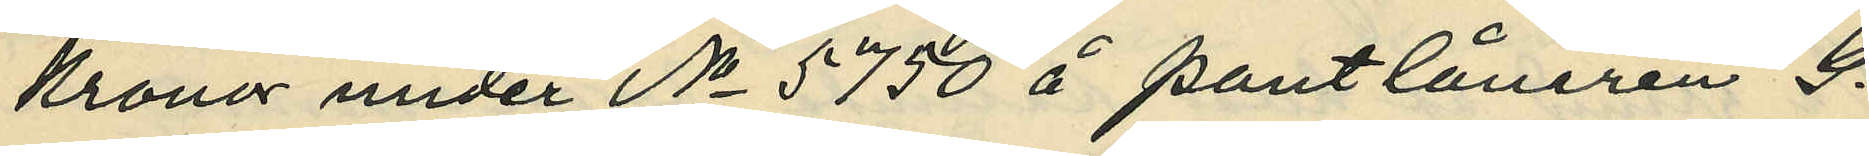Kronor under No 5750 å Pantlånaren G.
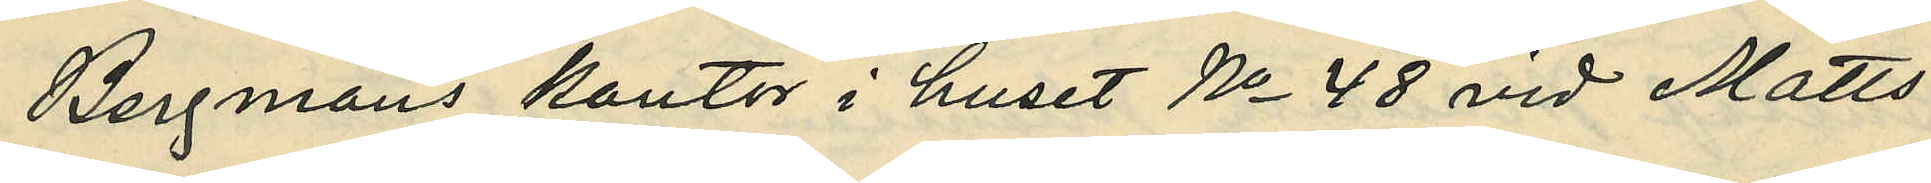Bergmans kontor i huset No 48 vid Matts¬
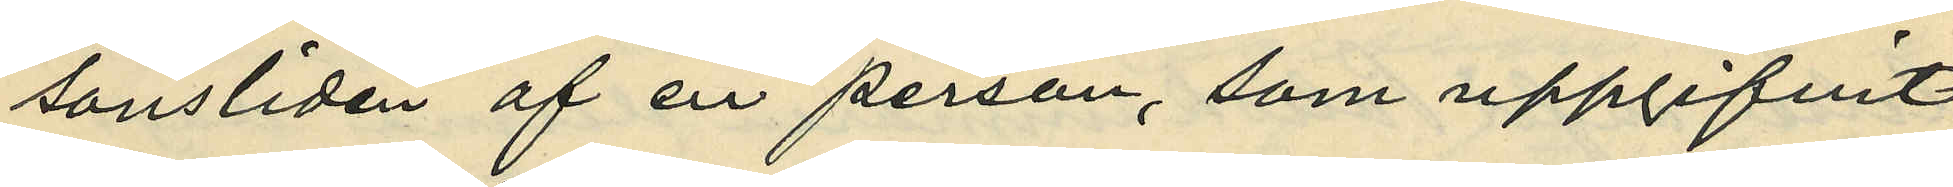sonsliden af en person, som uppgifvit
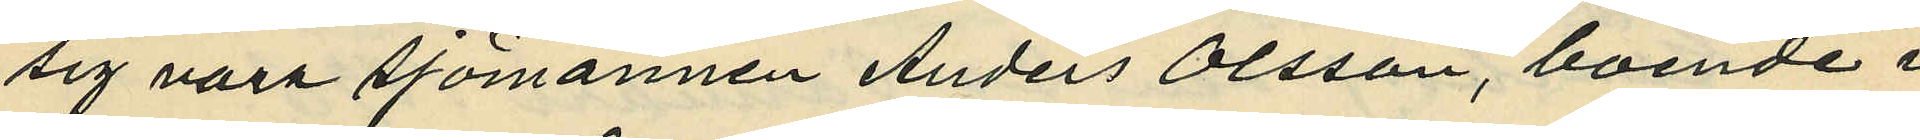sig vara Sjömannen Anders Olsson, boende i
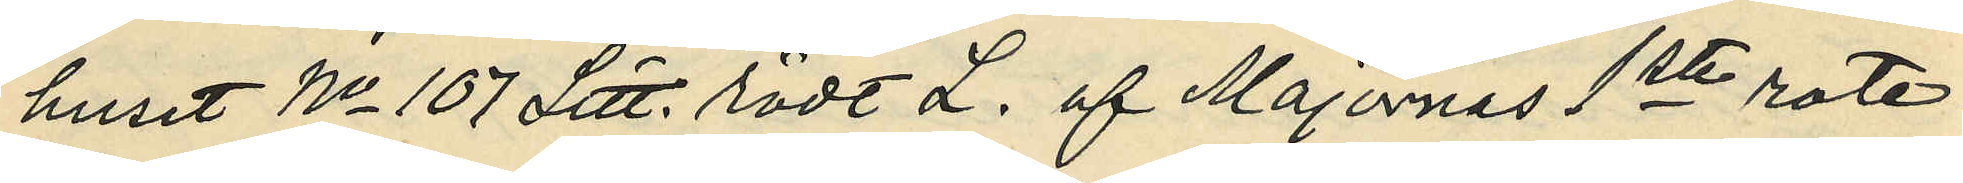huset No 107 Litt. rödt L. af Majornas 1ste rote.
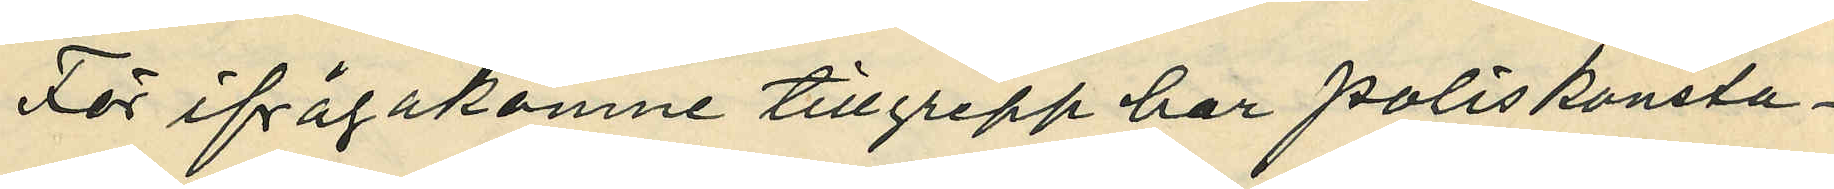För ifrågakomne tillgrepp har poliskonsta¬
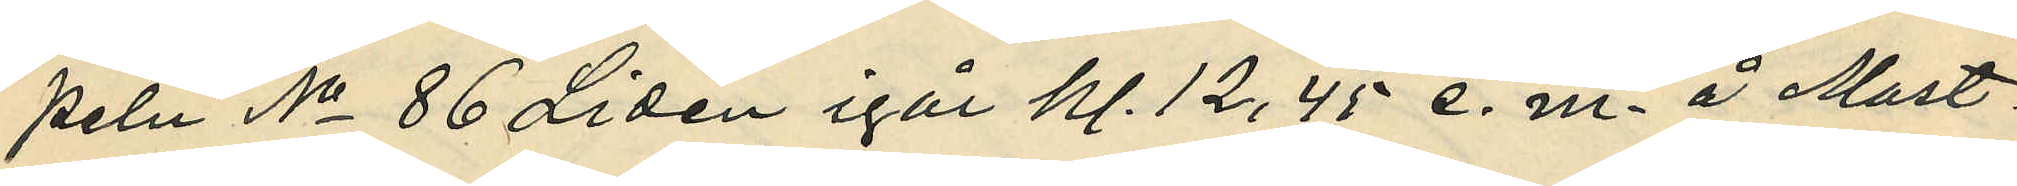peln No 86 Lidén igår kl. 12,45 e. m. å Mast¬
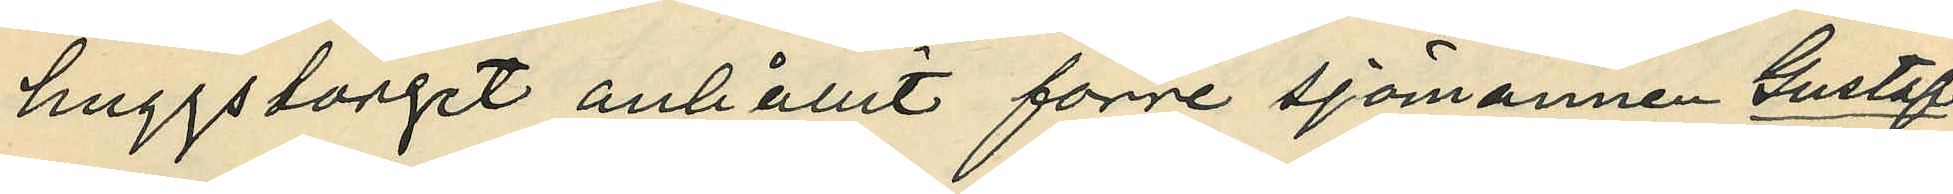huggstorget anhållit förre sjömannen Gustaf
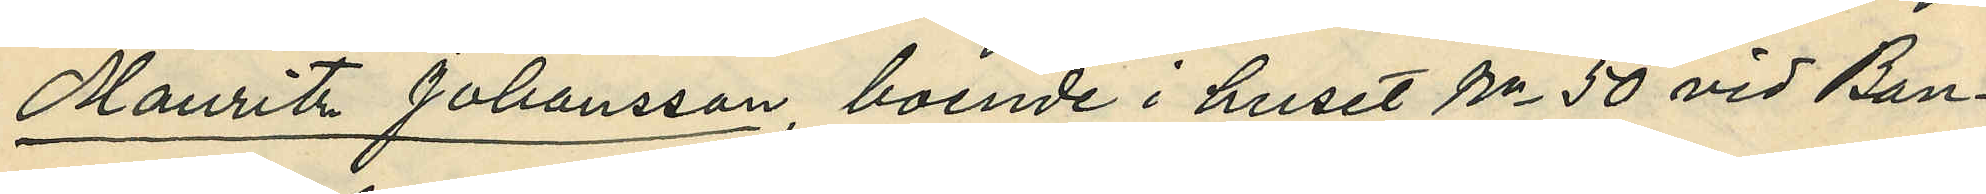Mauritz Johansson , boende i huset No 50 vid Ban¬
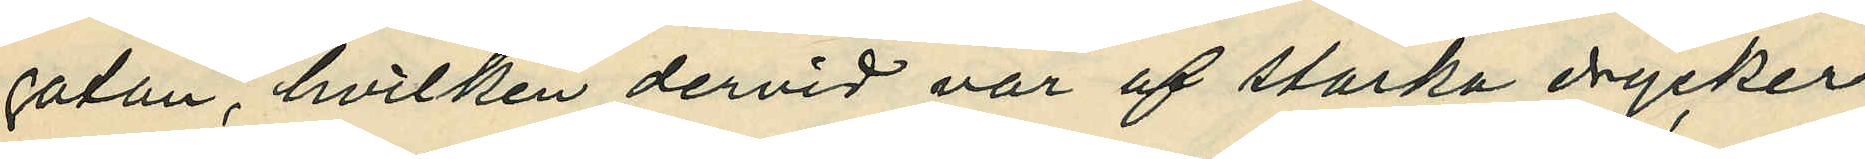gatan, hvilken dervid var af starka drycker
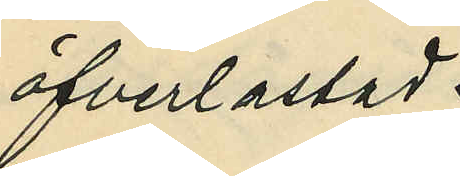öfverlastad.
